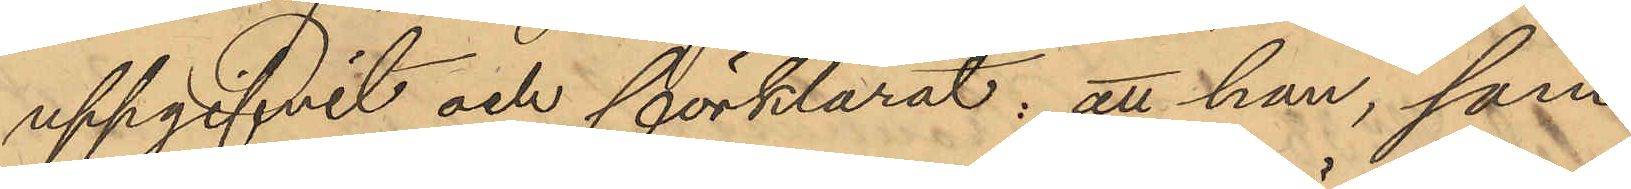uppgifvit och förklarat: att han, som
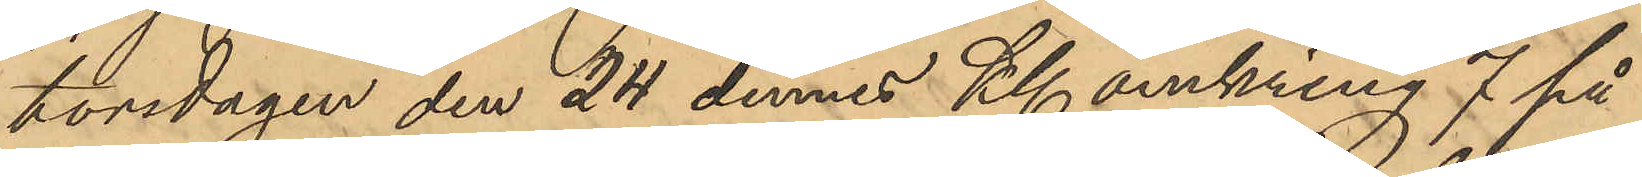torsdagen den 24 dennes Kl omkring 7 på
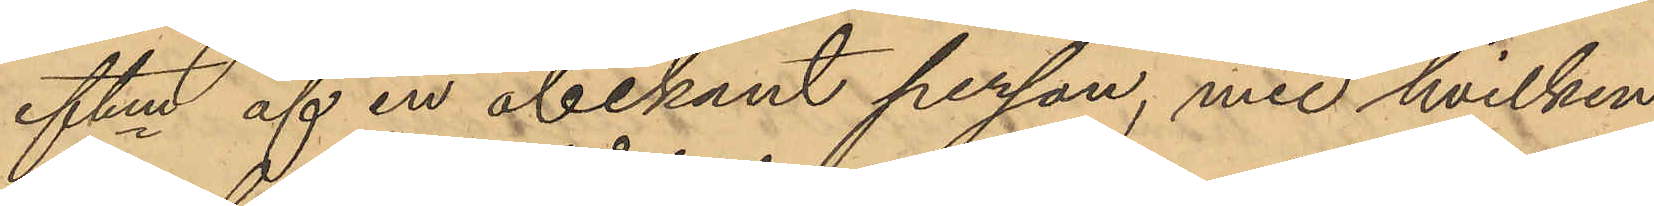eftm af en obekant person, med hvilken
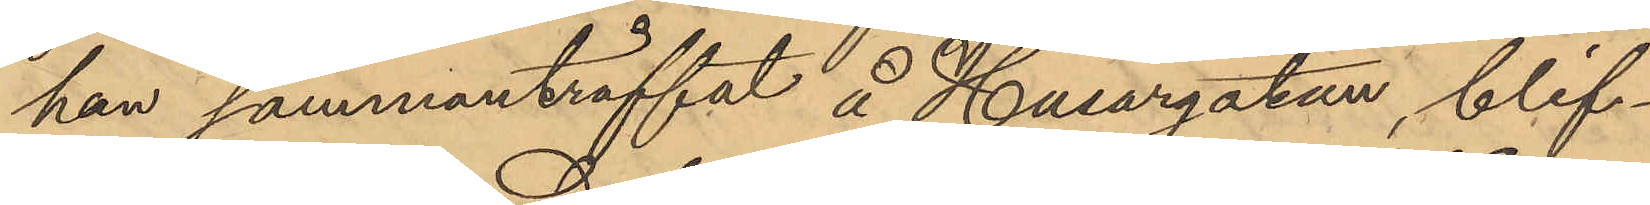han sammanträffat å Husargatan, blif¬
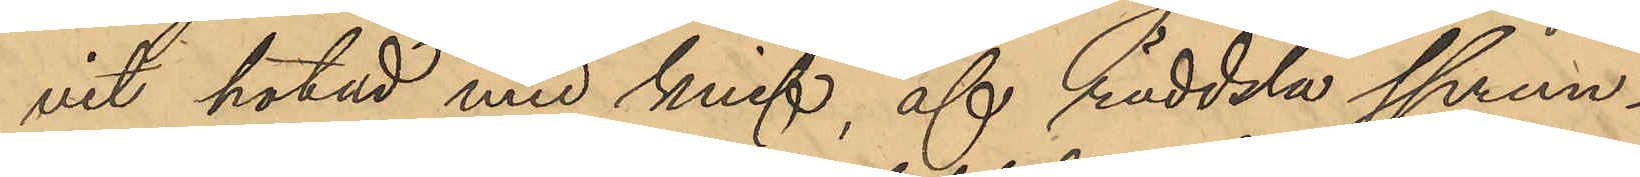vit hotad med knif, af räddsla sprun¬
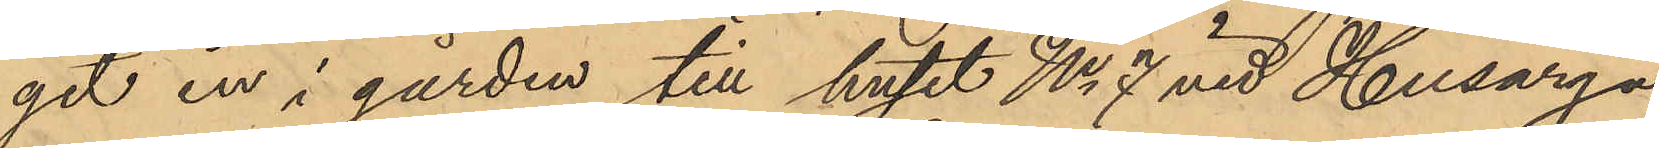git in i gården till huset No 7 vid Husarga¬
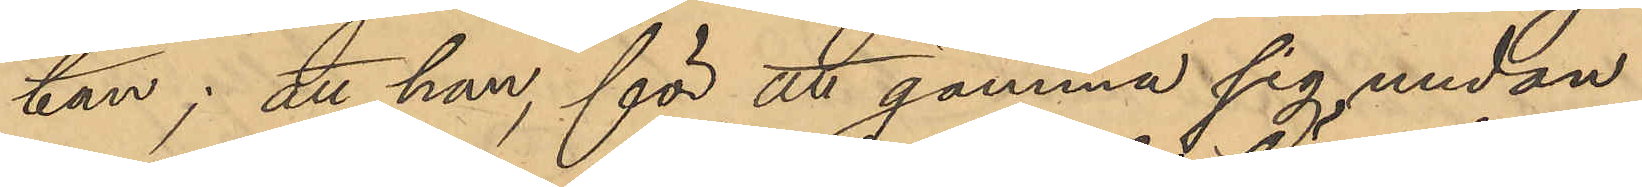tan; att han, för att gömma sig undan
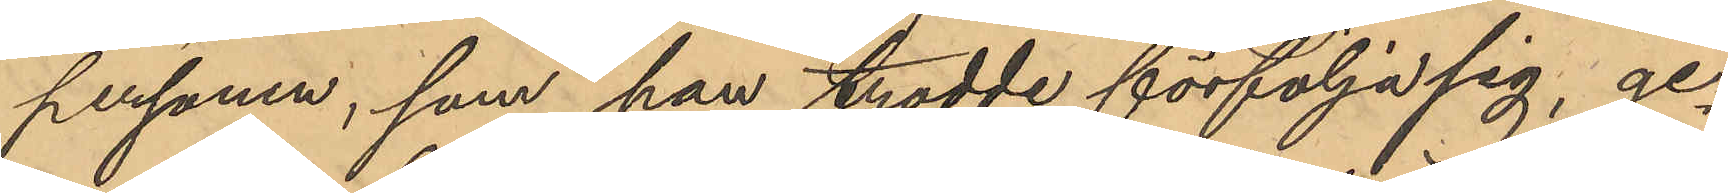personen, som han trodde förfölja sig, ge¬
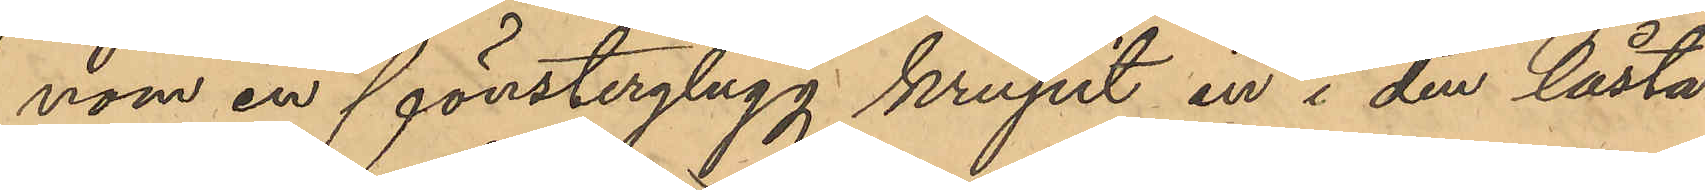nom en fönsterglugg krupit in i den låsta
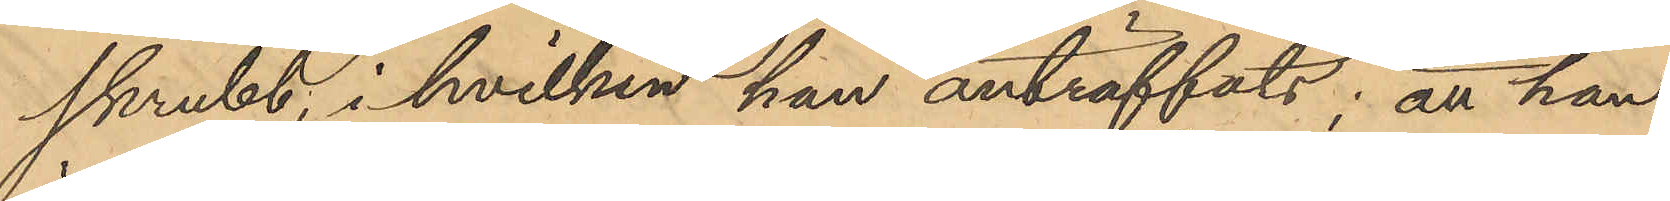skrubb, i hvilken han anträffats; att han
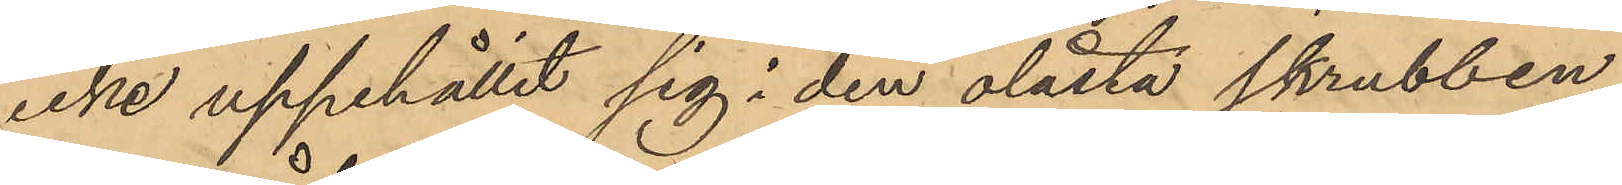icke uppehållit sig i den olåsta skrubben
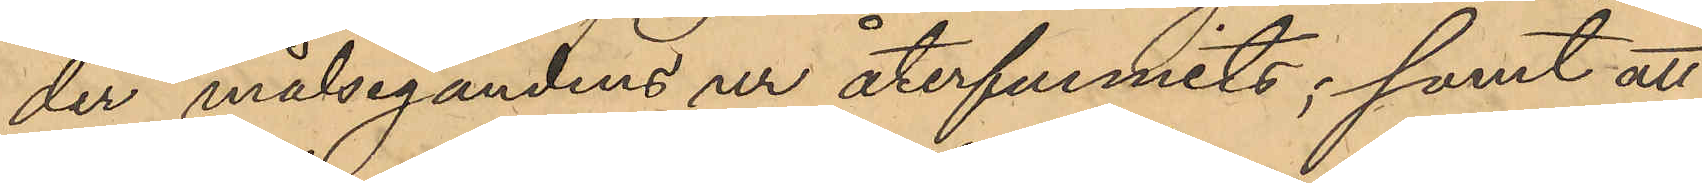der målsegandens ur återfunnits; samt att
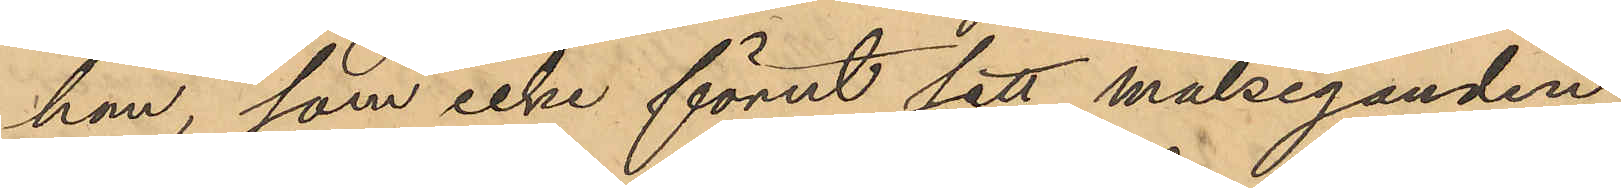han, som icke förut sett målseganden
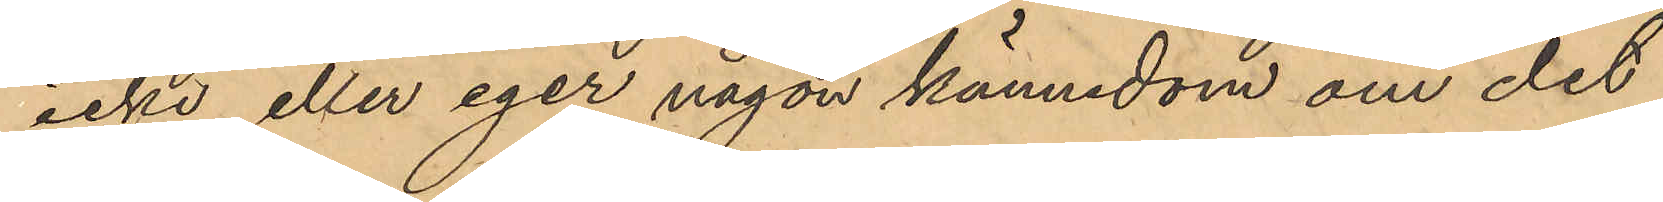icke eller eger någon kännedom om det
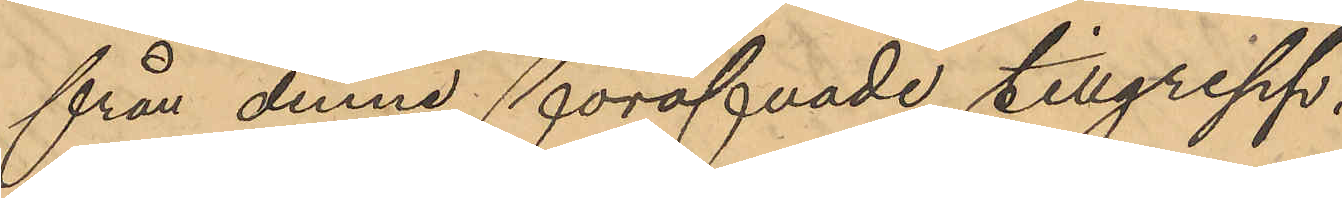från denne föröfvade tillgrepp.
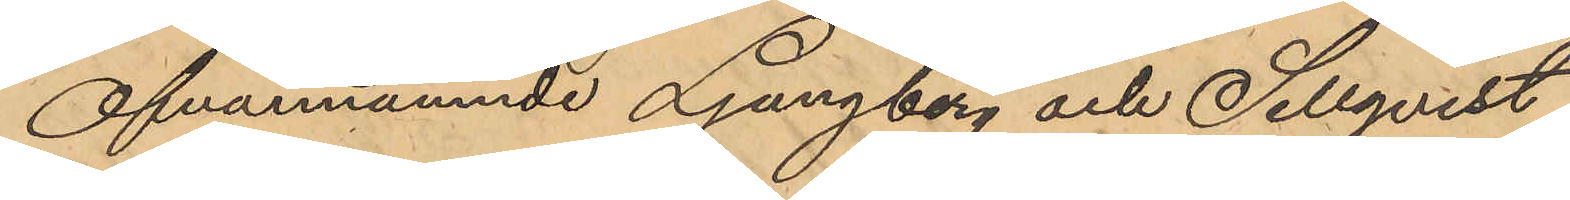Ofvannämnde Ljungberg och Sellqvist
